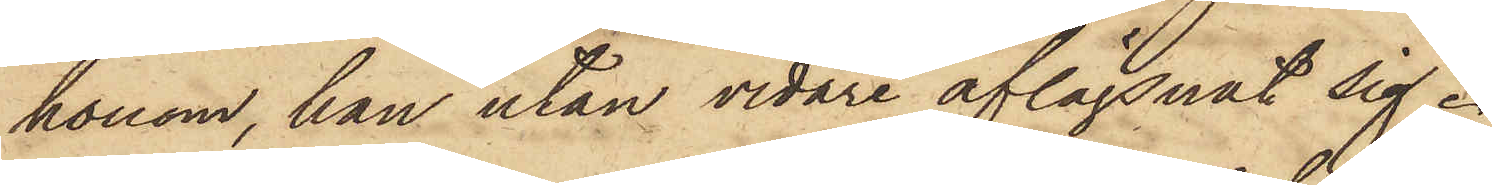honom, han utan vidare aflägsnat sig.
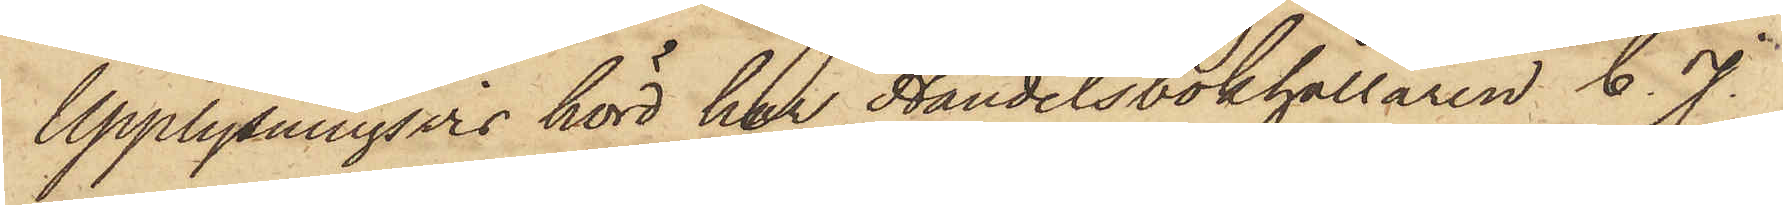Upplysningsvis hörd har Handelsbokhållaren C. J.
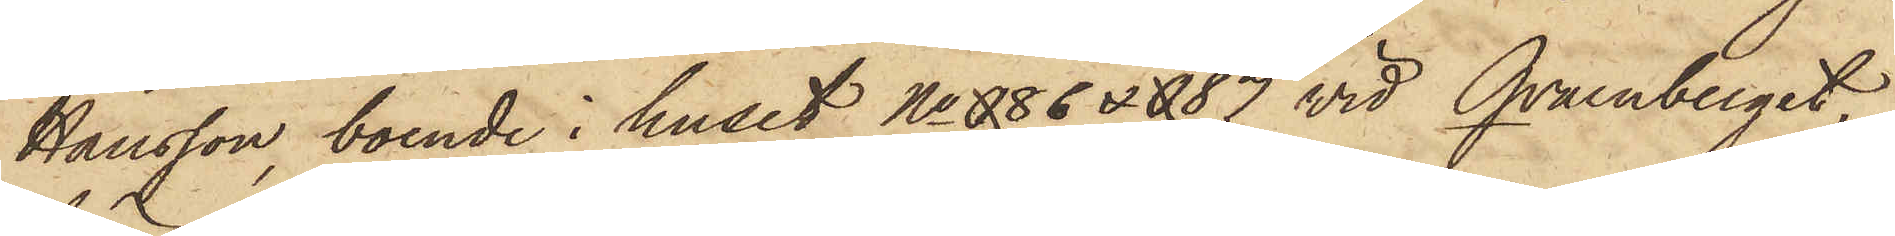Hansson, boende i huset No 086 & 087 vid Qvarnberget,
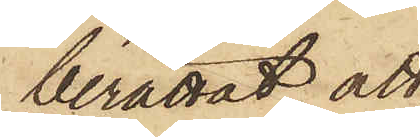berättat, att
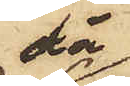då
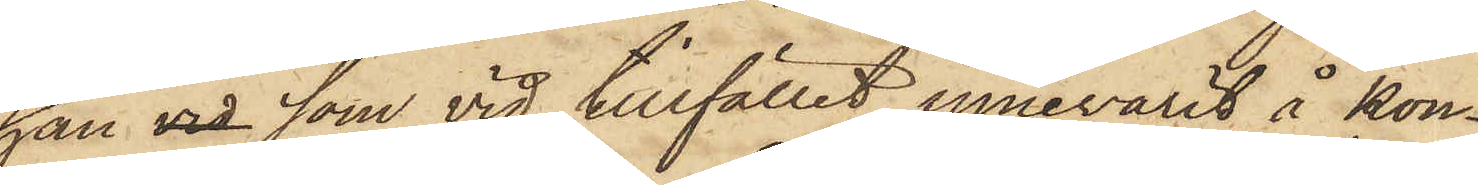han vid som vid tillfället innevarit å kon¬
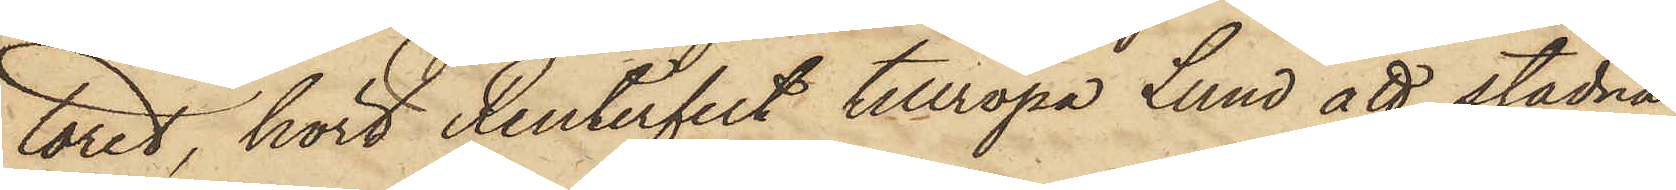toret, hört Reuterfeldt tillropa Lund att stadna
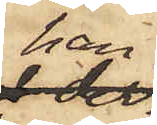han
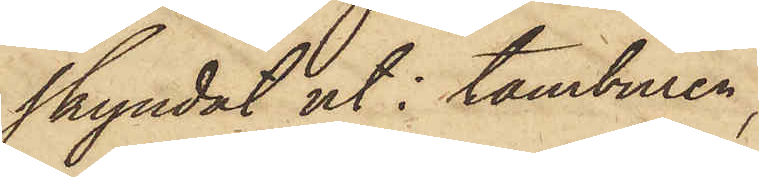skyndat ut i tamburen,
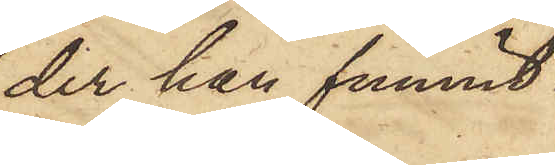der han funnit
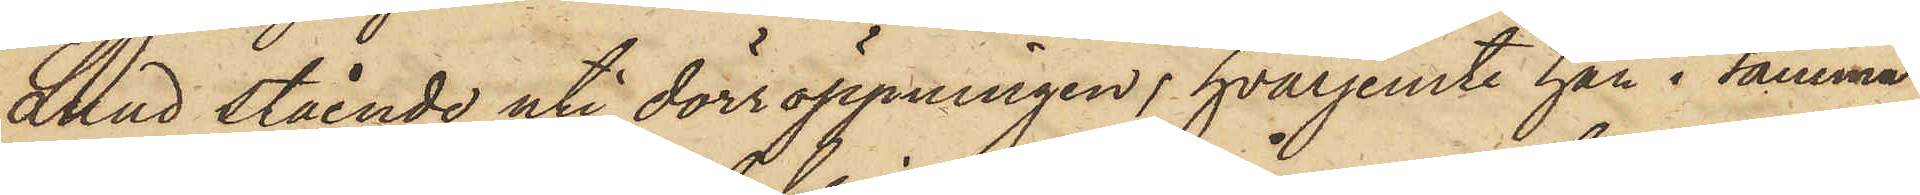Lund stående uti dörröppningen, hvarjemte han i samma
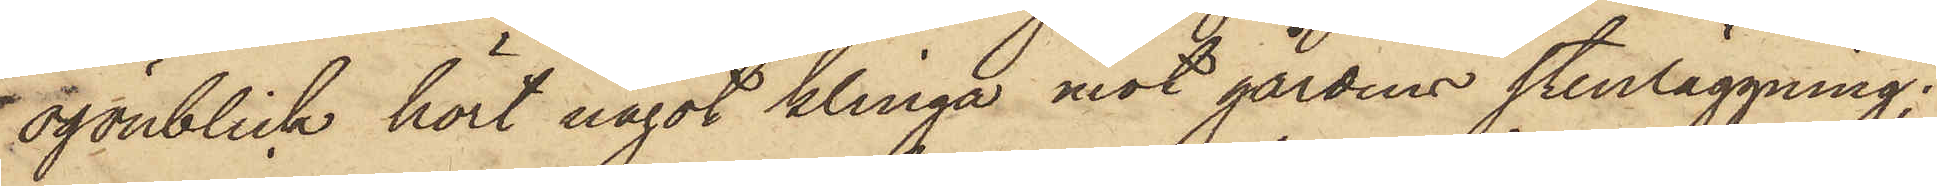ögonblick hört något klinga mot gårdens stenläggning;
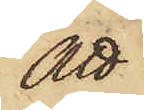att
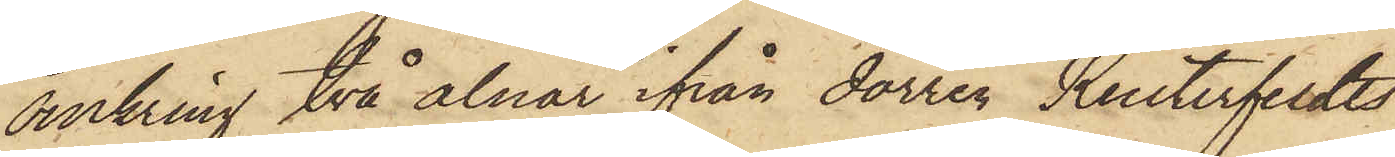omkring två alnar ifrån dörren Reuterfeldts
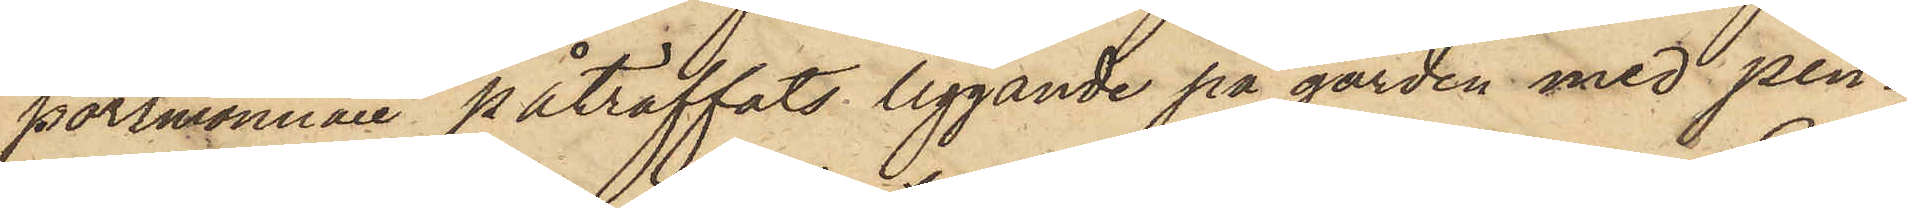portmonnaie påträffats liggande på gården med pen¬
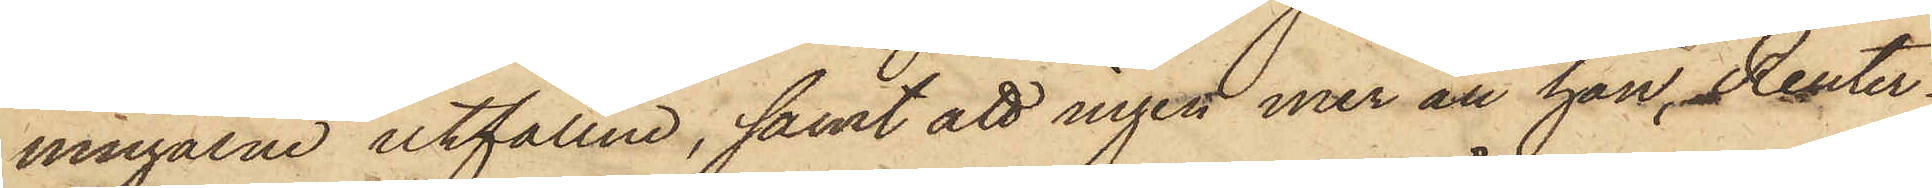ningarne utfallne, samt att ingen mer än han, Reuter¬
